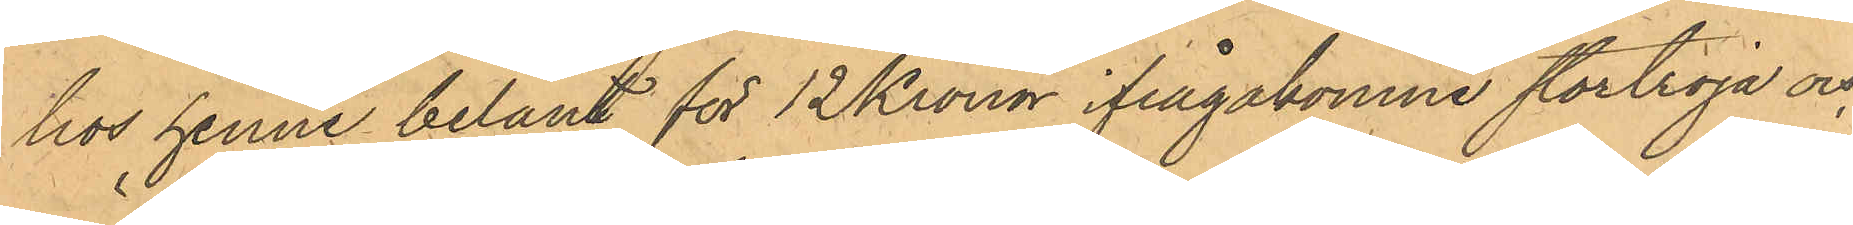hos henne belånt för 12 Kronor ifrågakomne stortröja och
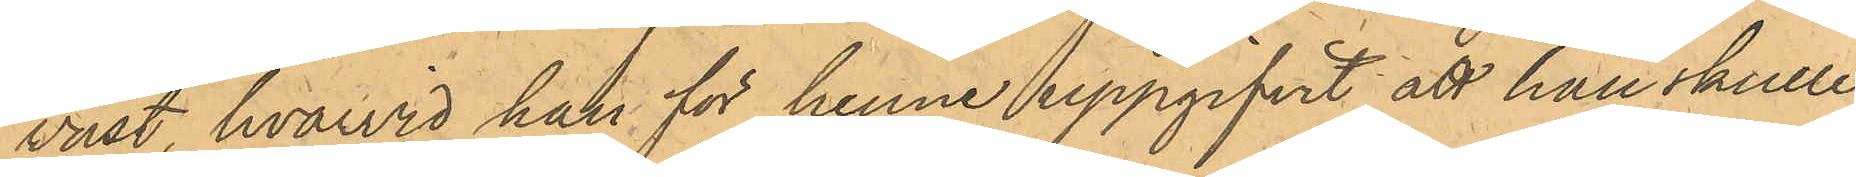väst, hvarvid han för henne uppgifvit att han skulle
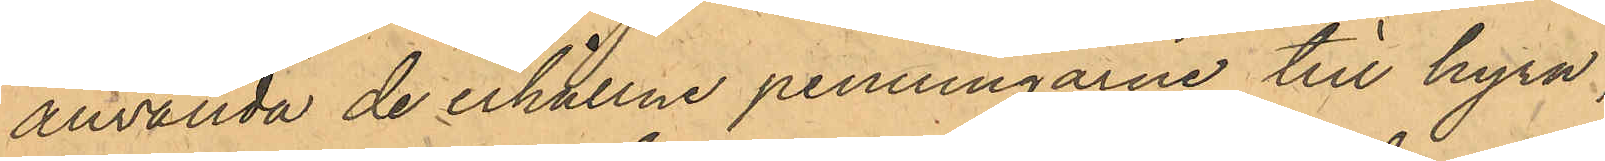använda de erhållne penningarne till hyra;
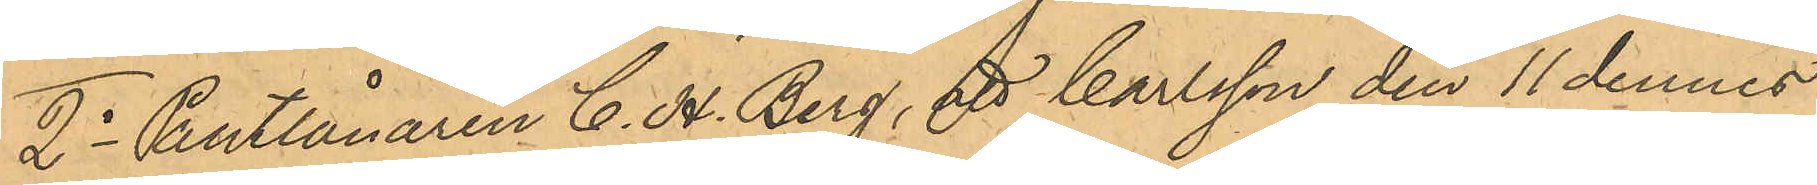2o Pantlånaren C. H. Berg, att Carlsson den 11 dennes
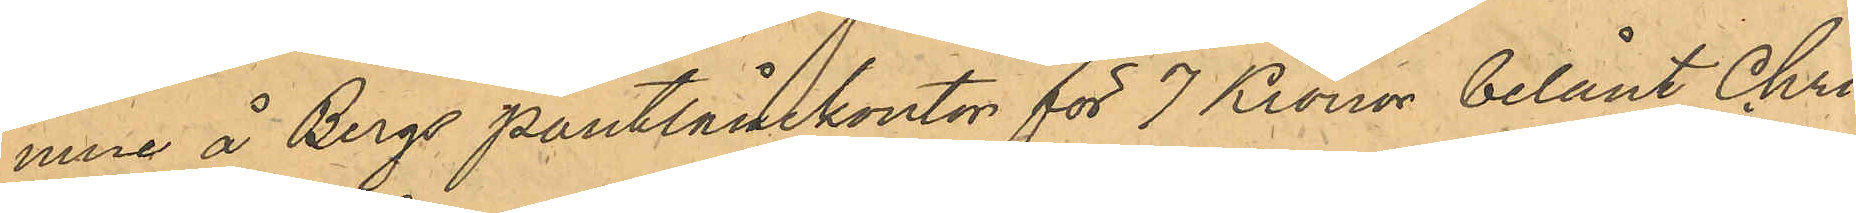inne å Bergs pantlånekontor för 7 Kronor belånt Chri¬
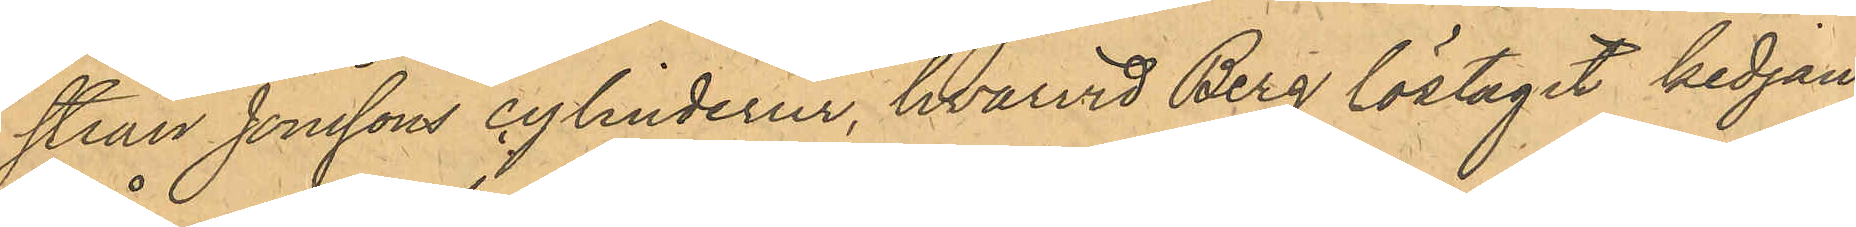stian Jonssons cylinderur, hvarvid Berg löstagit kedjan
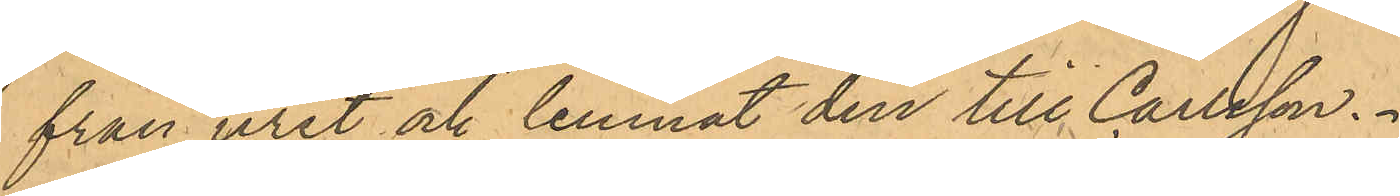från uret och lemnat den till Carlsson.
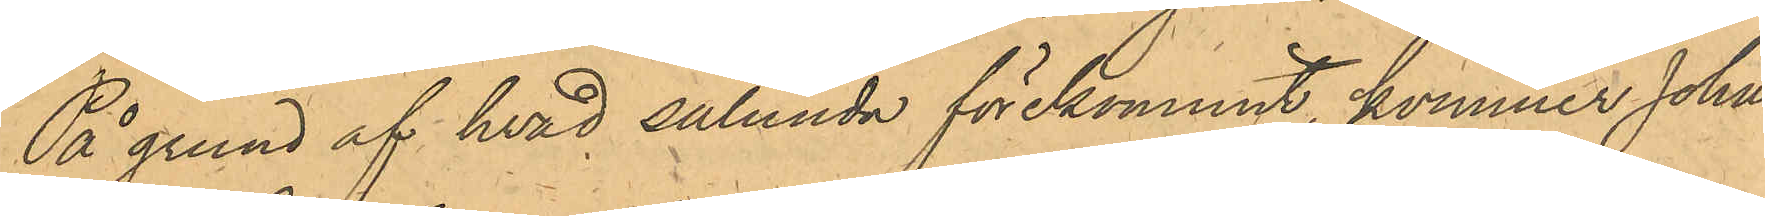På grund af hvad sålunda förekommit, kommer Johan 
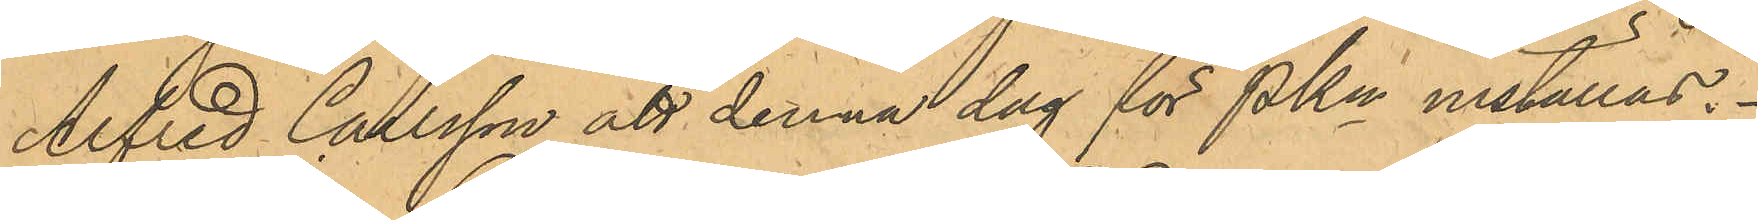Alfred Carlsson att denna dag för PKn inställas.
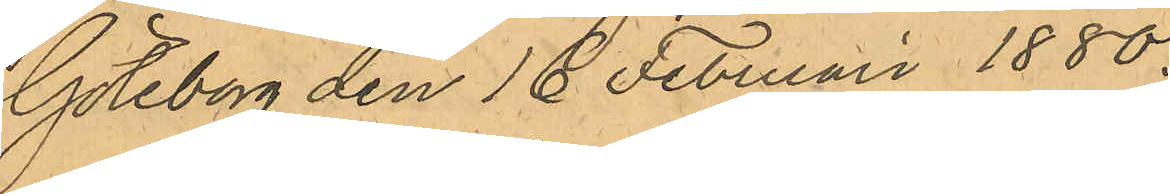Göteborg den 18 Februari 1880.
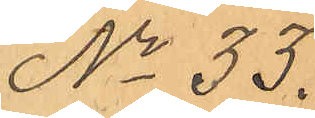No 33.
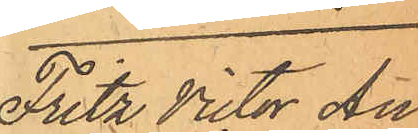Fritz Victor An¬
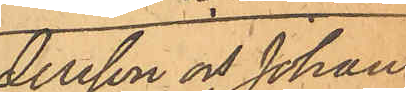dersson och Johan
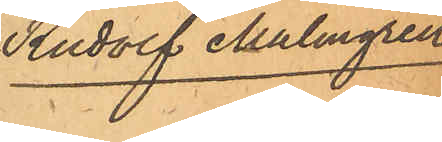Rudolf Malmgren
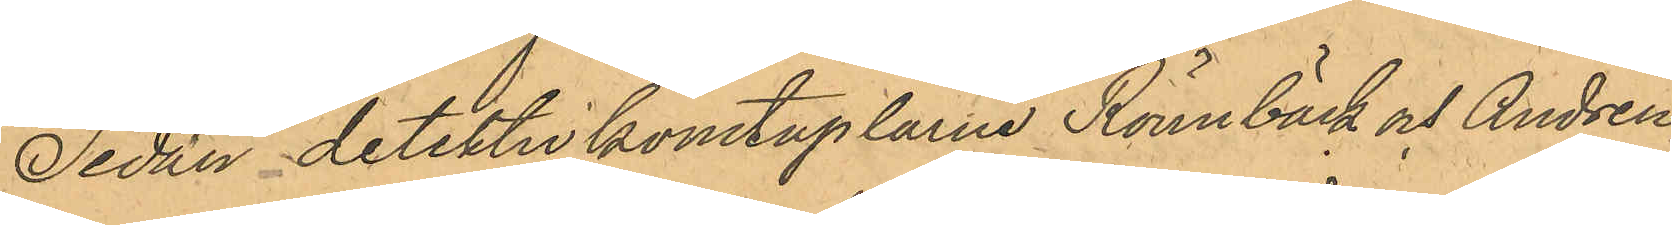Sedan detektivkonstaplarne Rönnbeck och Andrén
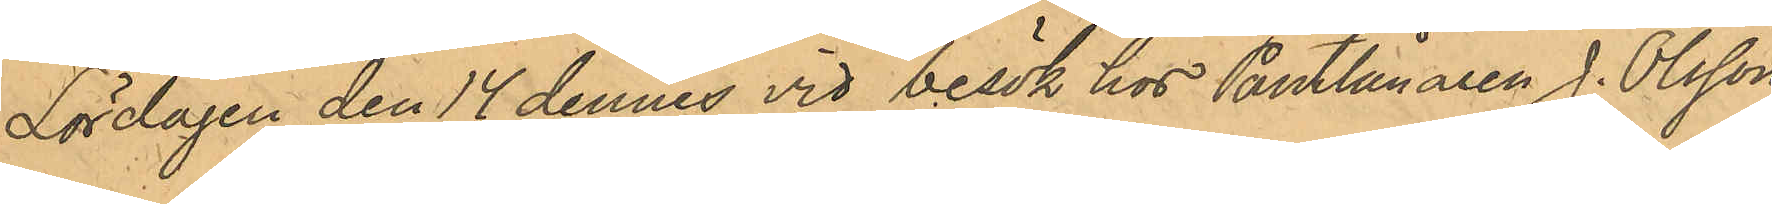Lördagen den 14 dennes vid besök hos Pantlånaren J. Olsson,
